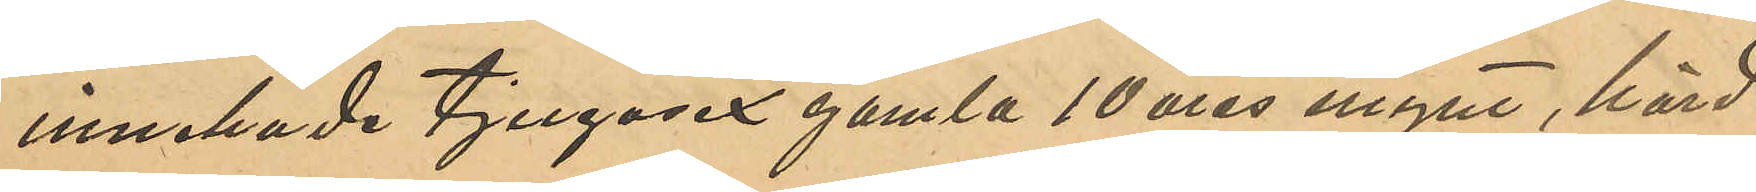innehade tjugosex gamla 10 öres mynt, hörd
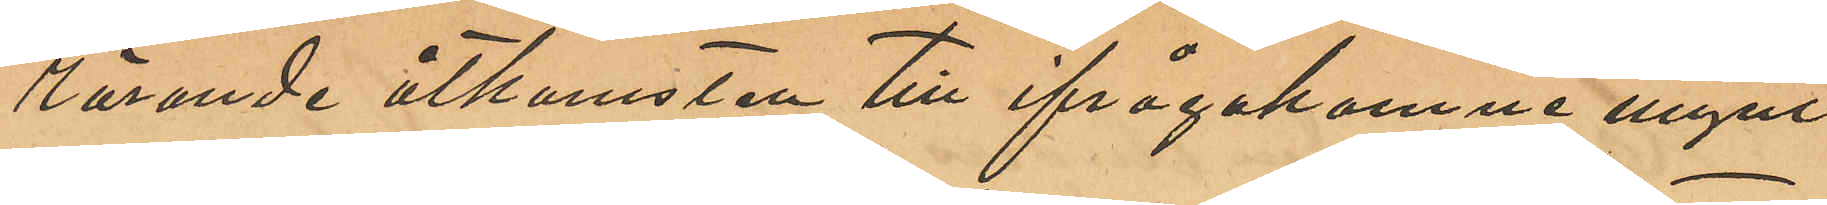rörande åtkomsten till ifrågakomne mynt
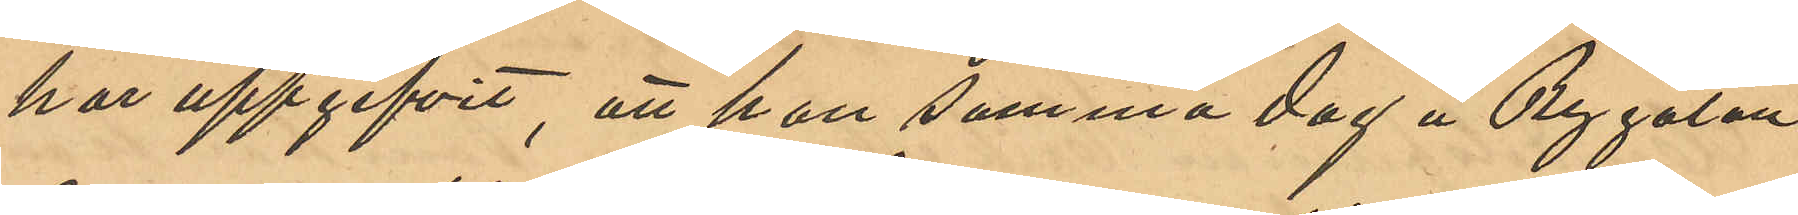har uppgifvit, att han samma dag å Bygatan
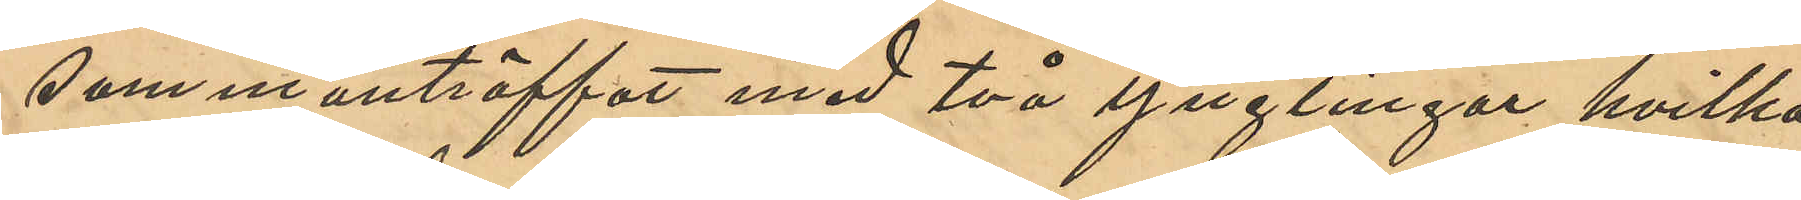sammanträffat med två ynglingar hvilka
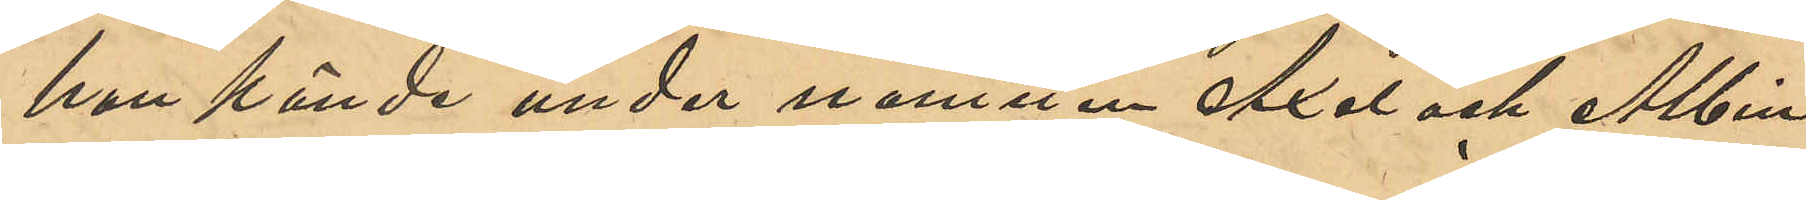han kände under namnen Axel och Albin,
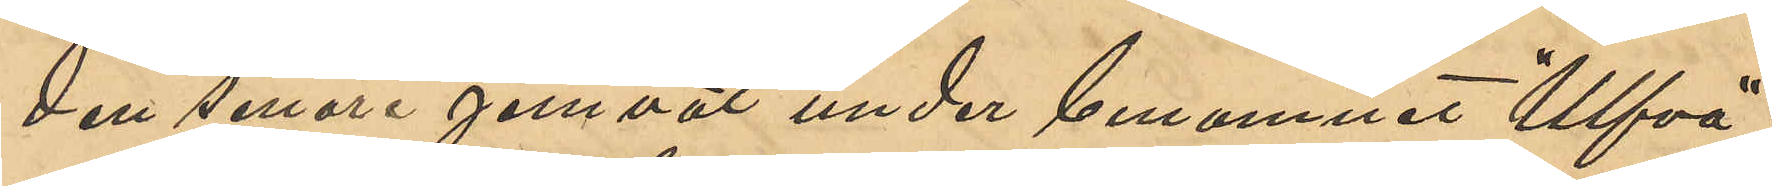den senare jemväl under binamnet "Ulfva";
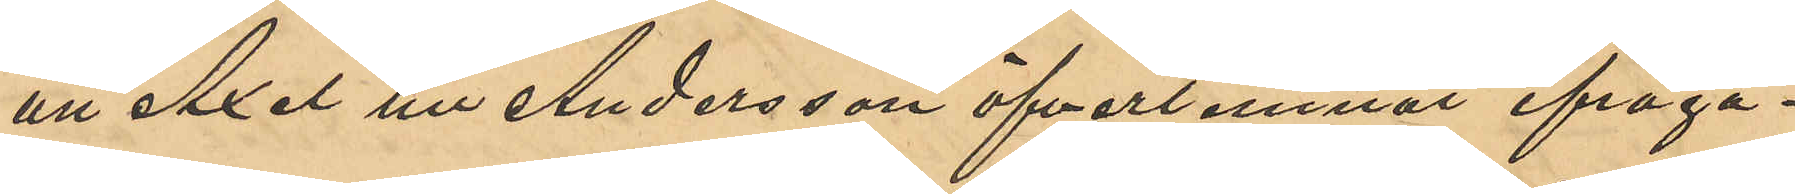att Axel till Andersson öfverlemnat ifråga¬
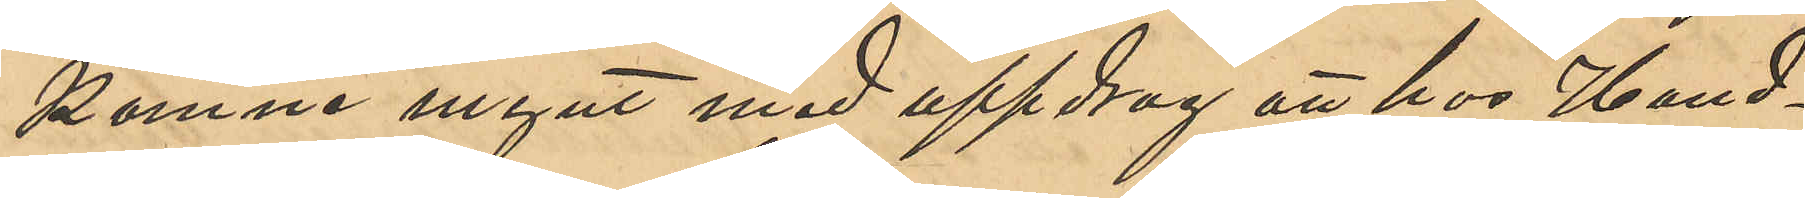komne mynt med uppdrag att hos Han¬
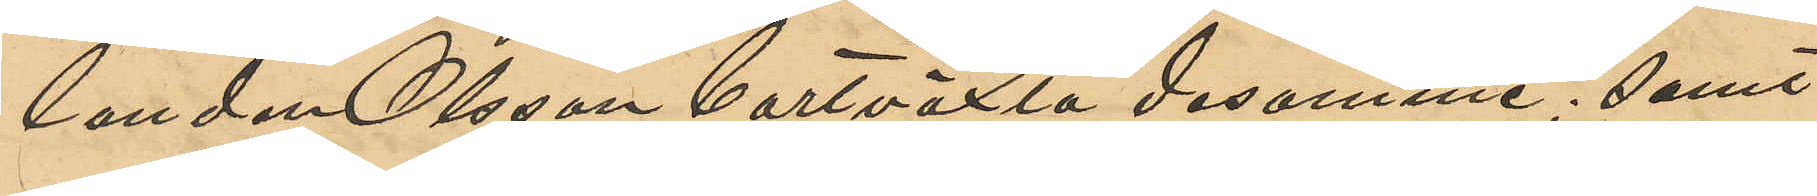landen Olsson bortvexla desamme; samt
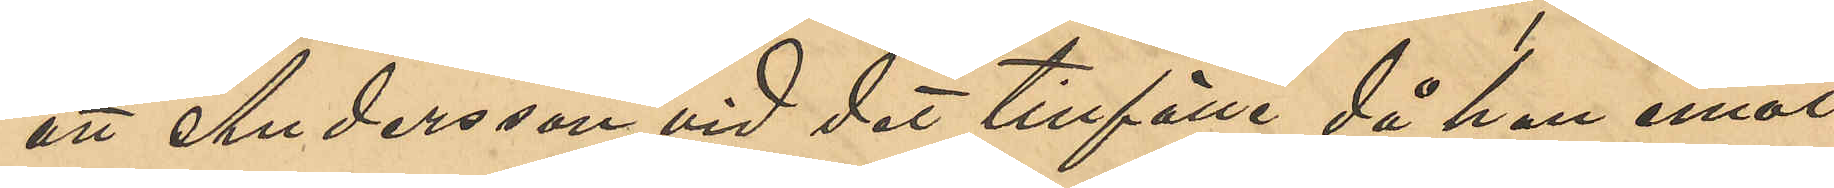att Andersson vid det tillfälle då han emot¬
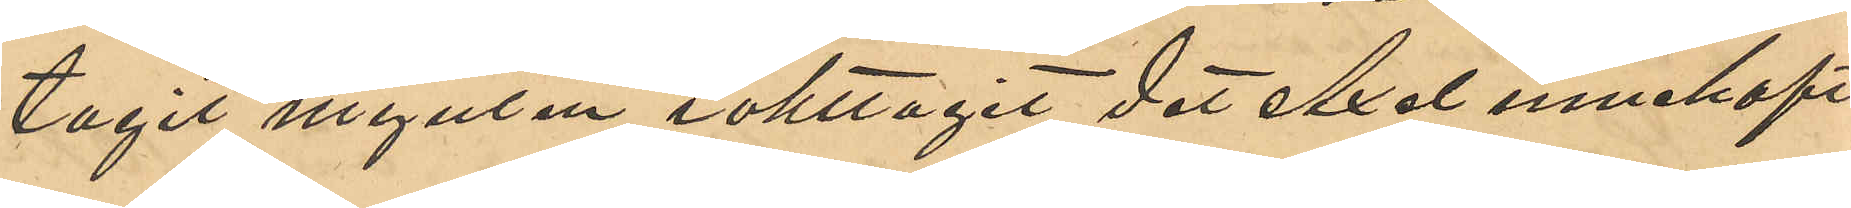tagit mynten iakttagit det Axel innehaft
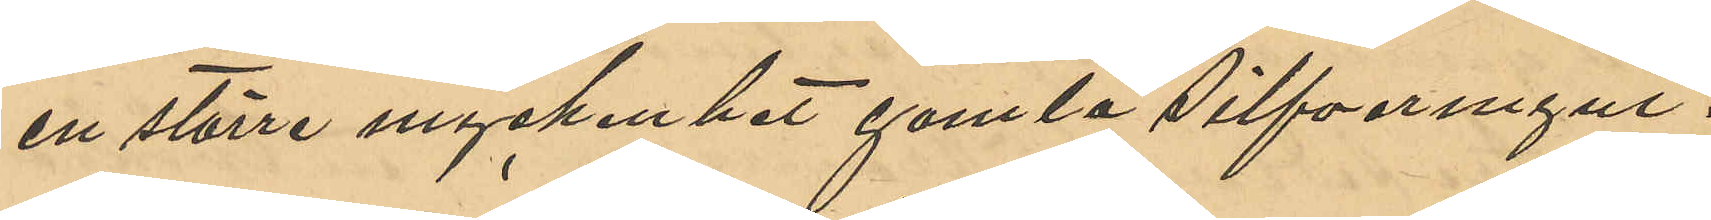en större myckenhet gamla silfvermynt.
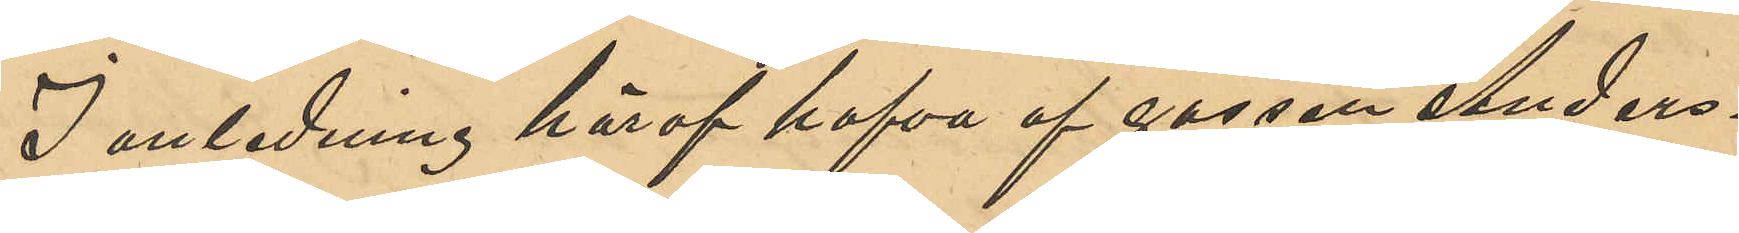I anledning häraf hafva af gossen Anders¬
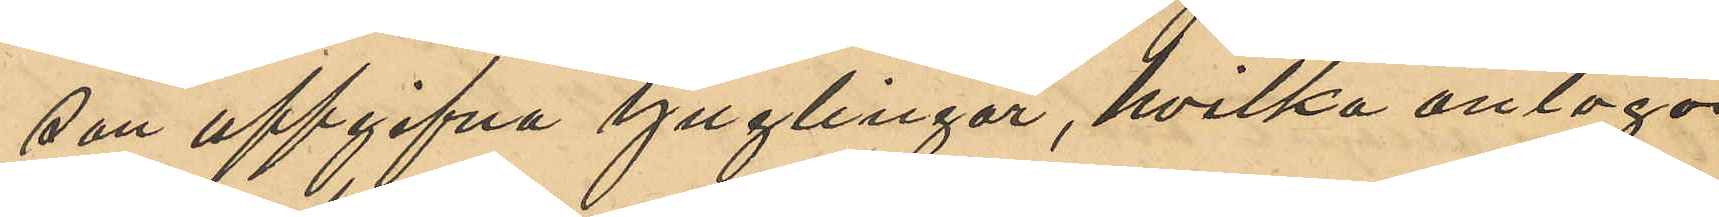son uppgifna ynglingar, hvilka antogos
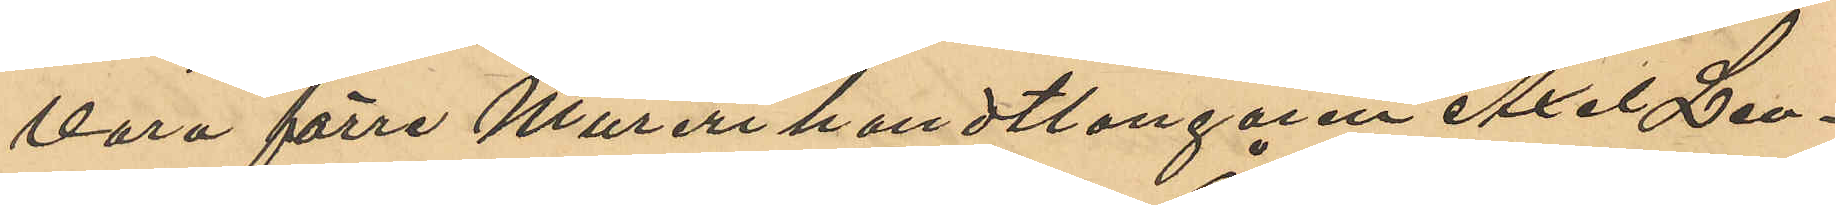vara förre Murerihandtlangaren Axel Leo¬
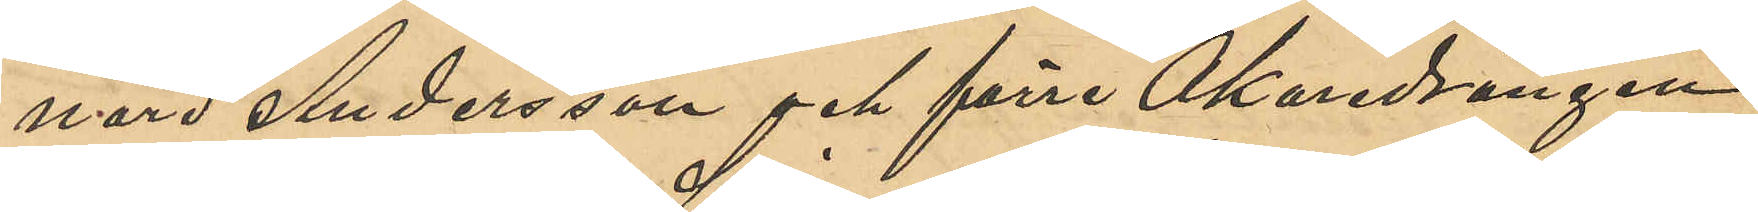nard Andersson och förre Åkardrängen
